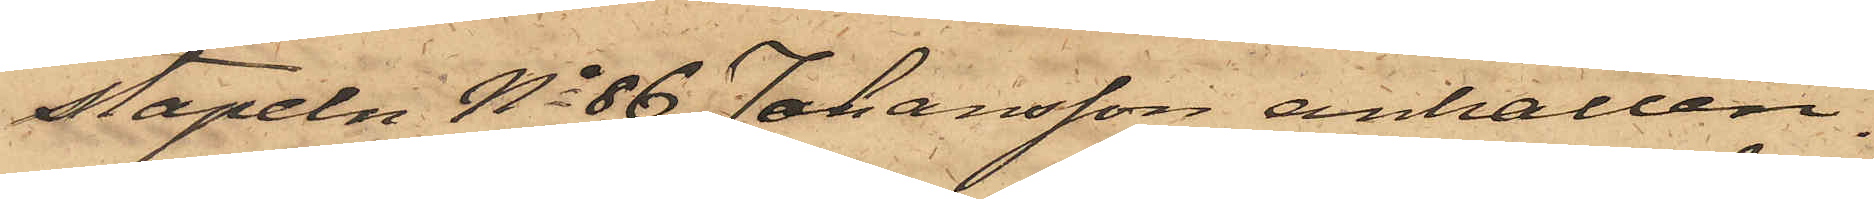stapeln No 86 Johansson anhållen.
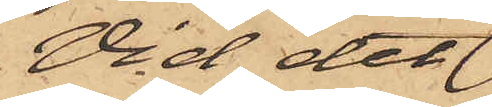Vid det
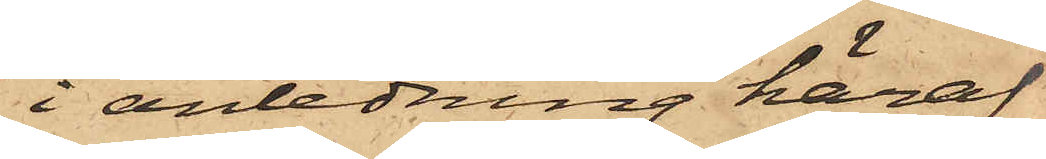i anledning häraf
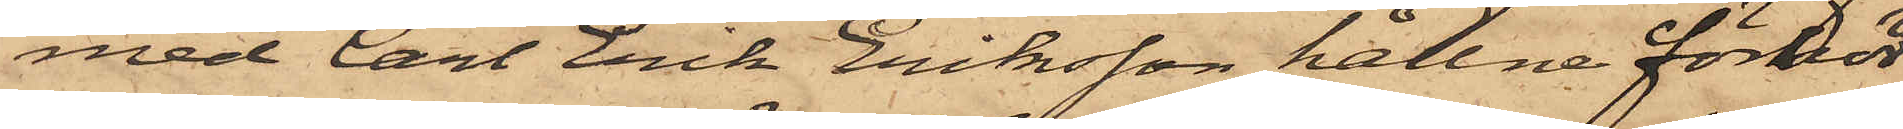med Carl Erik Eriksson hållne förhör
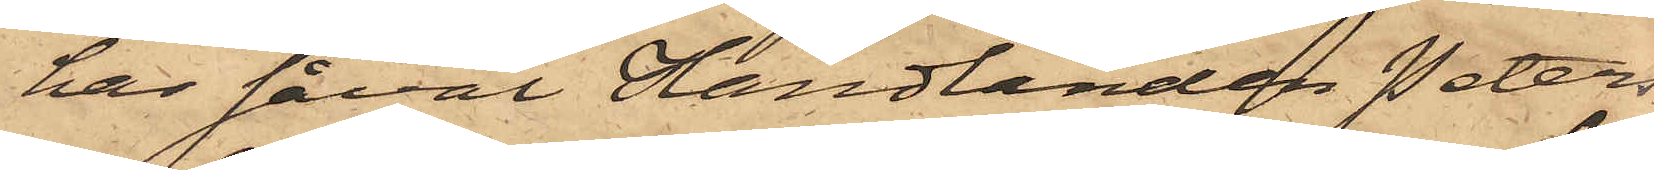har såväl Handlanden Peters¬
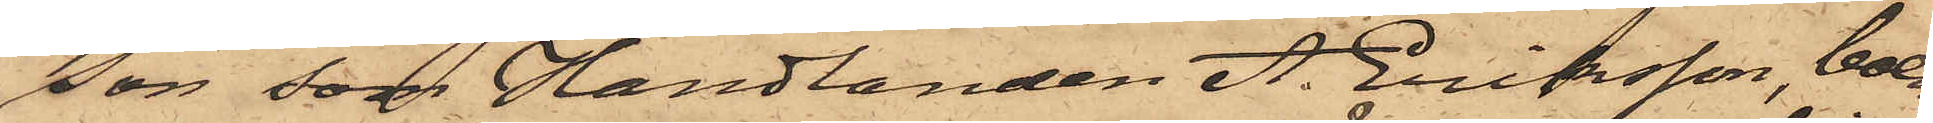son, som Handlanden A. Eriksson, boen¬
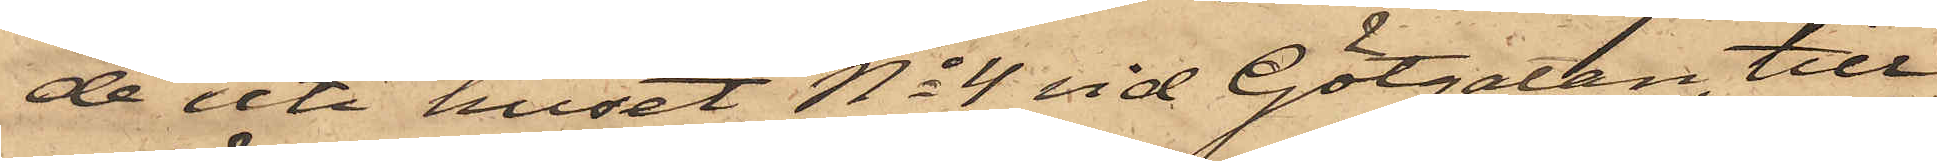de uti huset No 4 vid Götgatan, till¬
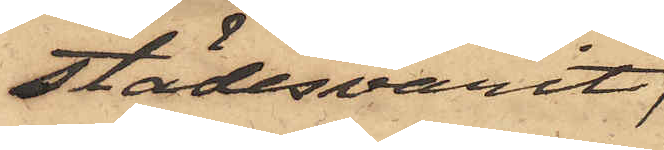städesvarit;
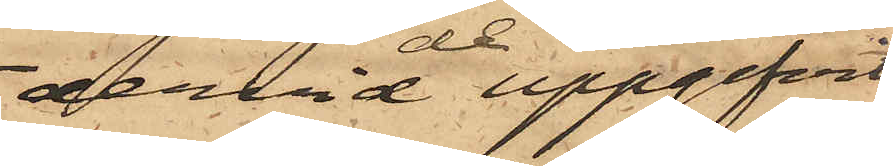dervid de uppgifvit:
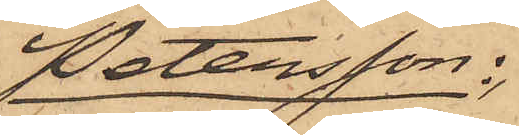Petersson:,
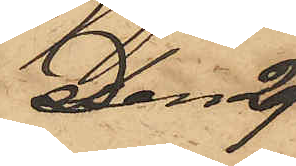Den 29
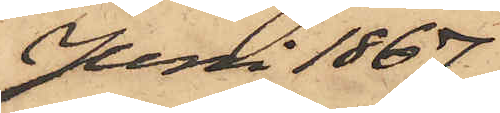Juni 1867
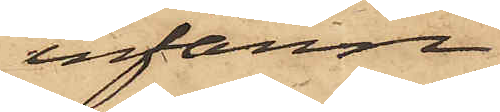infann
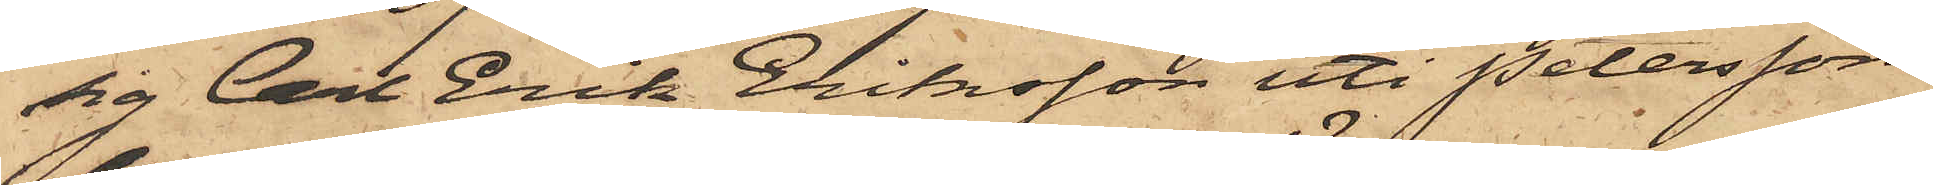sig Carl Erik Eriksson uti Peterssons
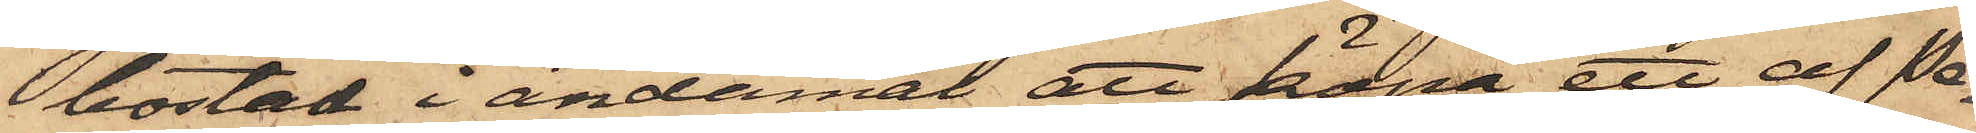bostad i ändamål att köpa ett af Pe¬
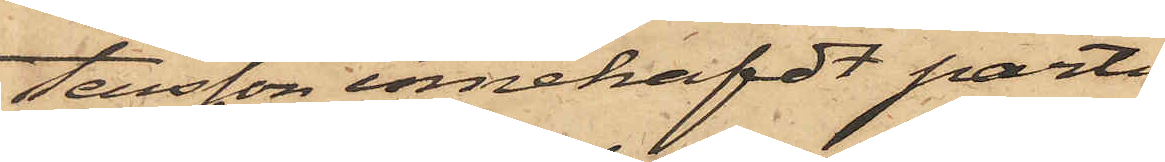tersson innehafdt parti
